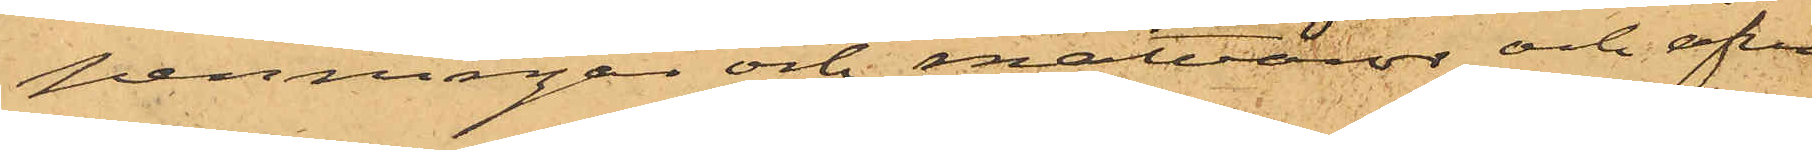penningar och matvaror och äfven
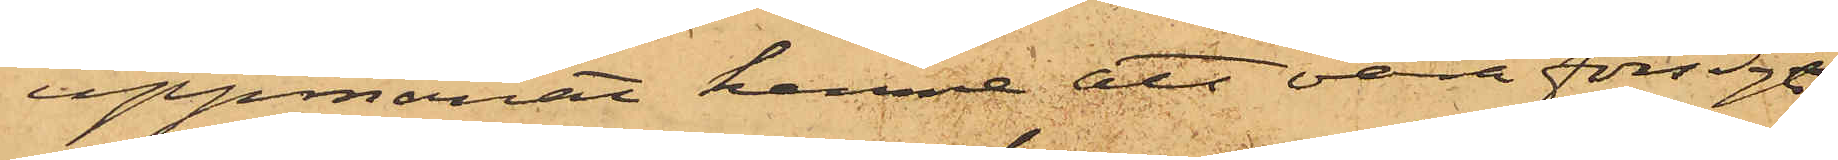uppmanat henne att vara försigtig
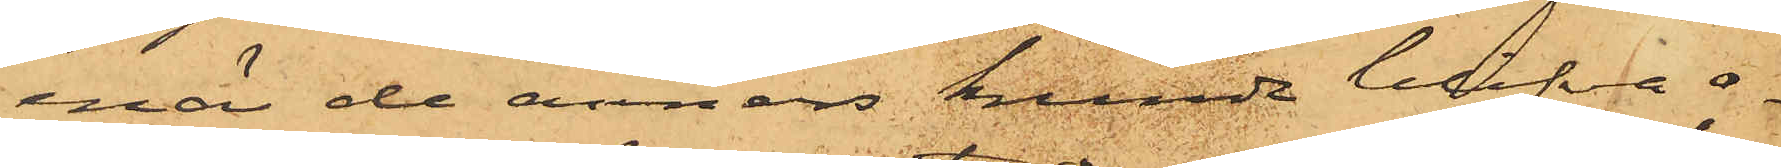enär de annars kunde blifva o¬
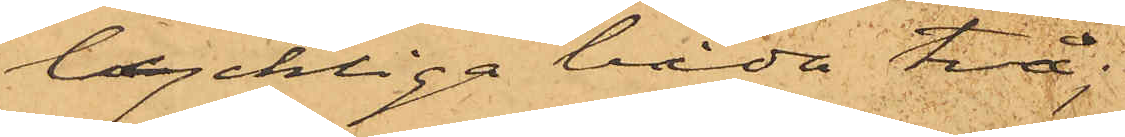lyckliga båda två;
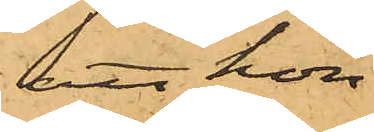att hon
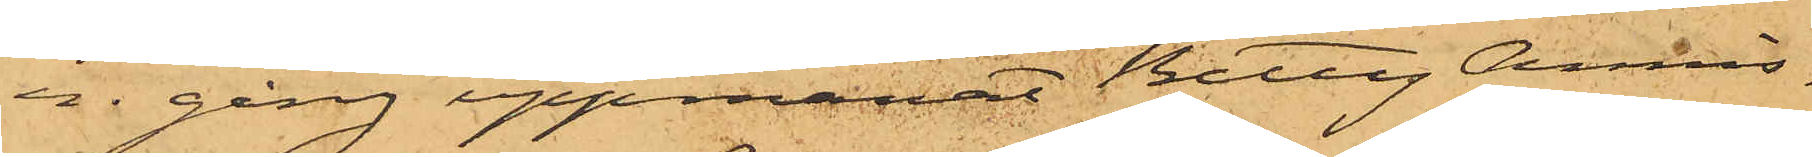en gång uppmanat Betty Annis¬
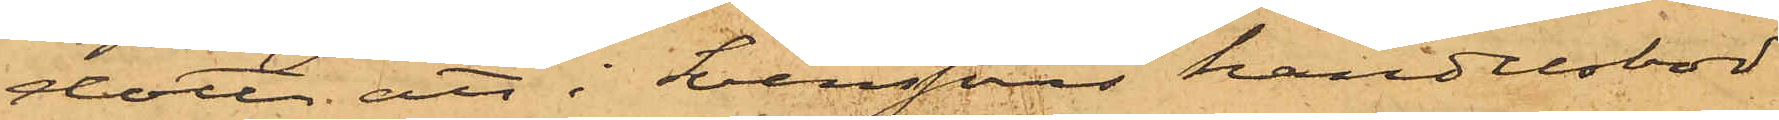dotter att i Svenssons handelsbod
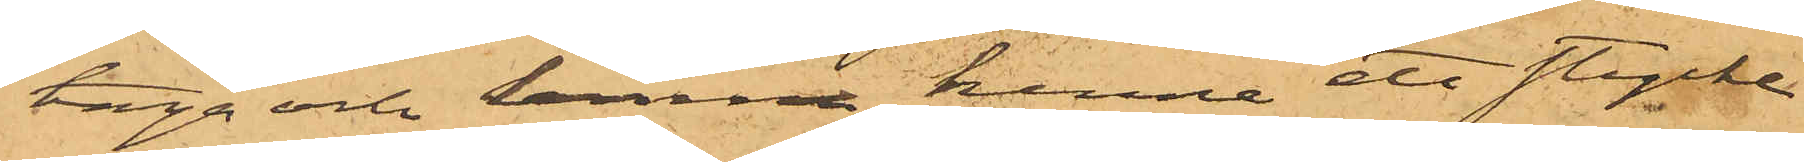taga och lemna henne ett stycke
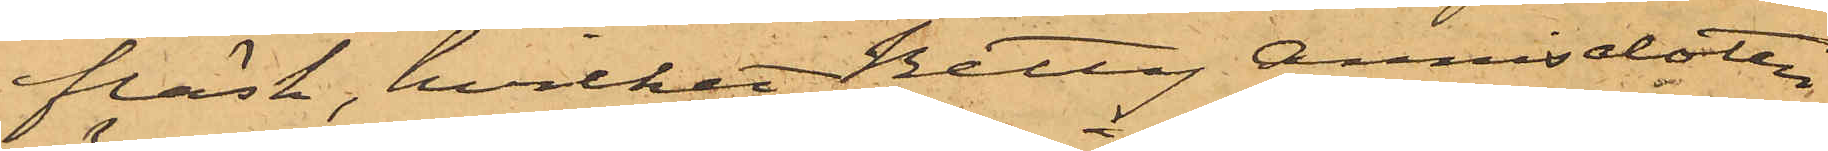fläsk, hvilket Betty Annisdotter
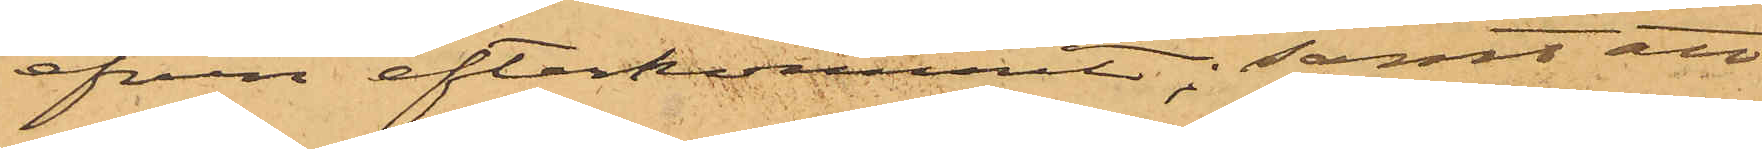äfven efterkommit; samt att
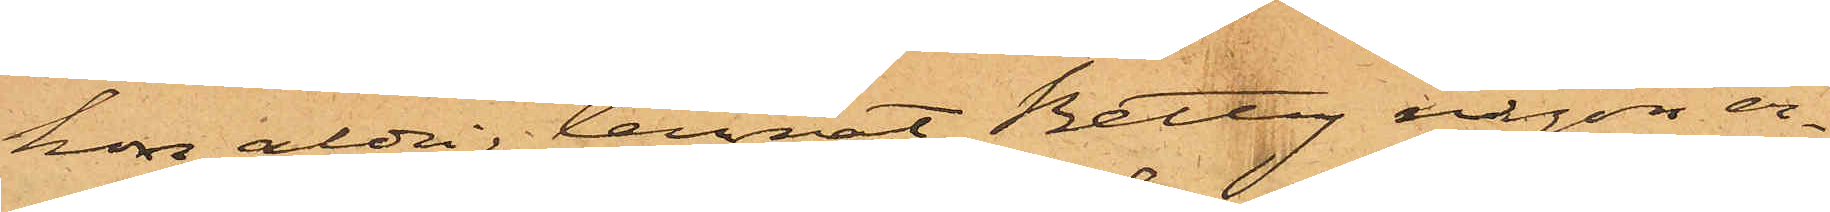hon aldrig lemnat Betty någon er¬
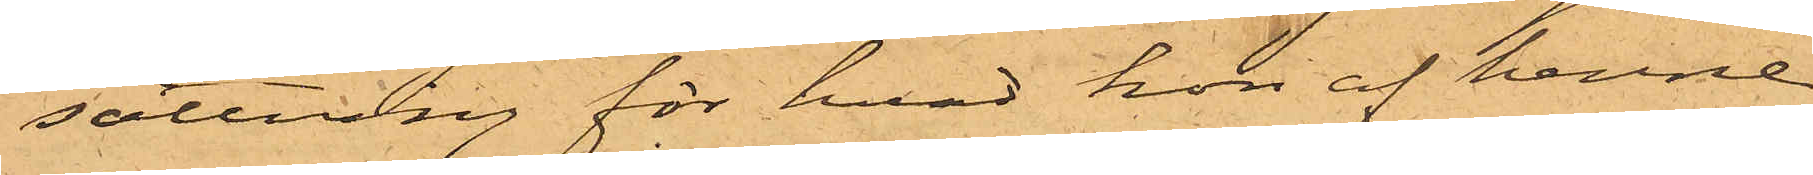sättning för hvad hon af henne
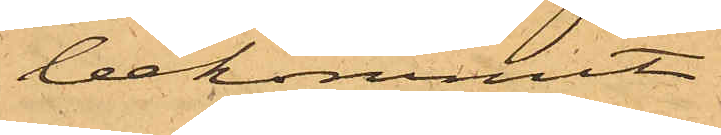bekommit.
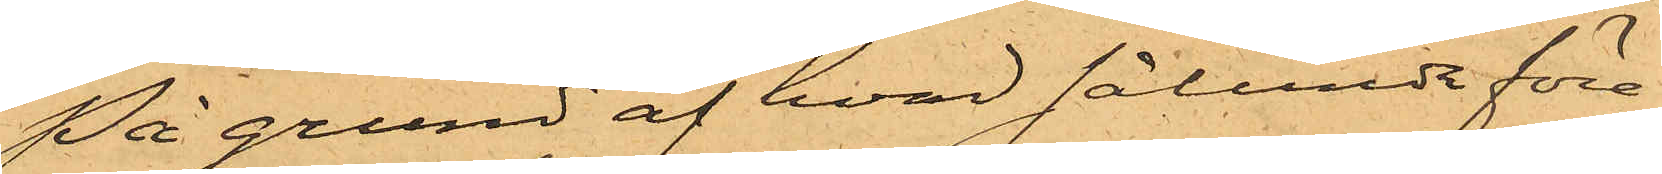På grund af hvad sålunda före¬
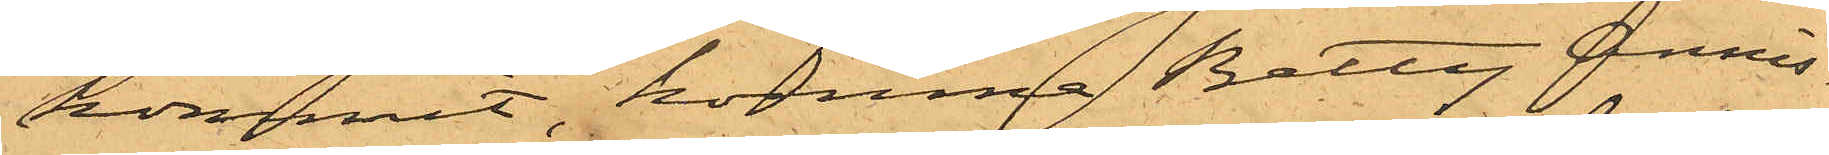kommit, kommer Betty Annis¬
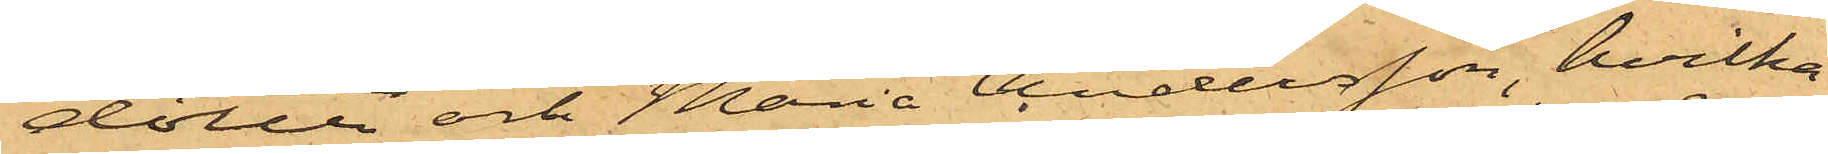dotter och Maria Andersson, hvilka
